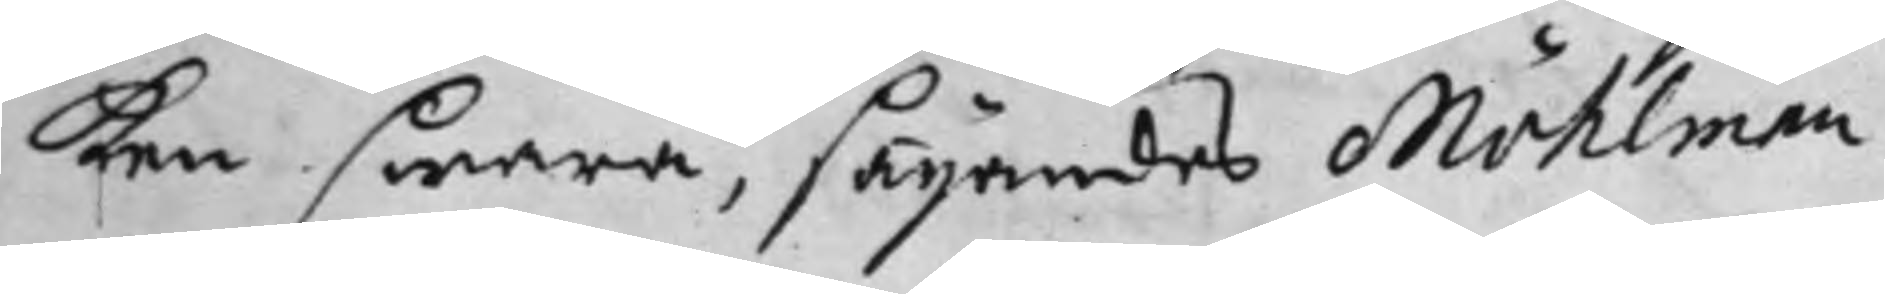ken swara, sägandes Möhlman
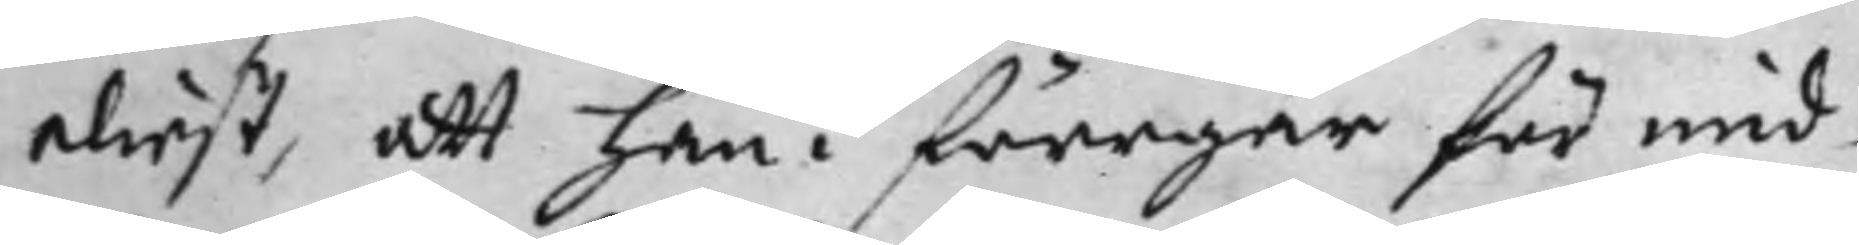eliest, att han i förrgår för mid¬
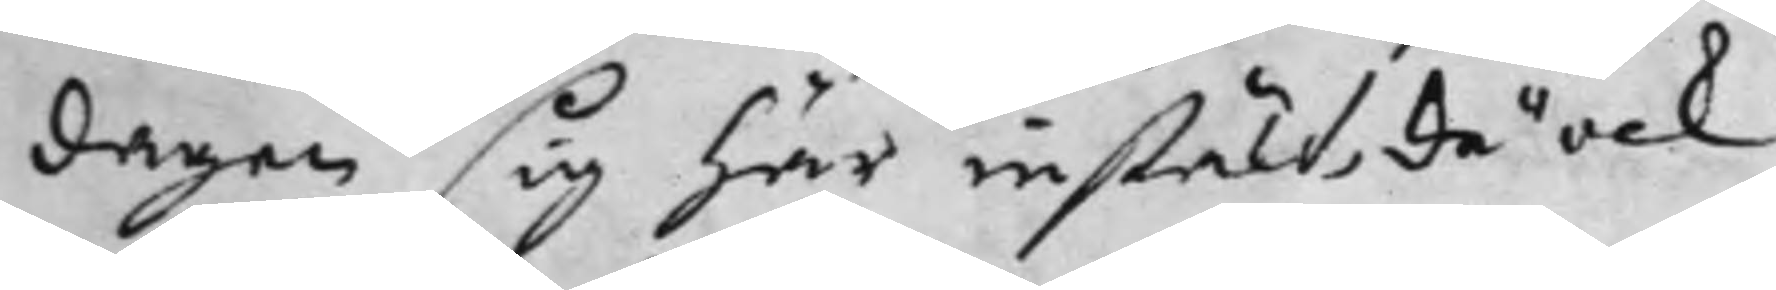dagen sig här instält, då ock
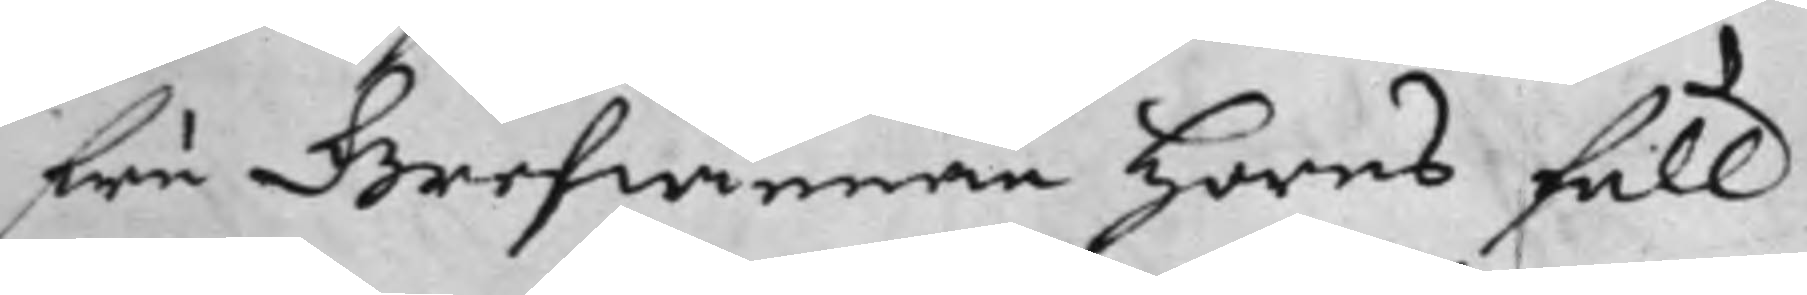fru Grefwinnan Horns full¬
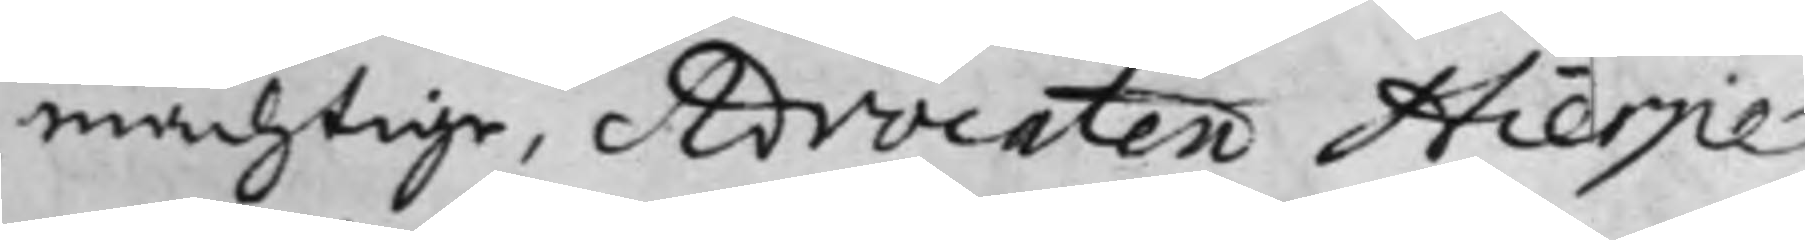mächtige, Advocaten Hierpe
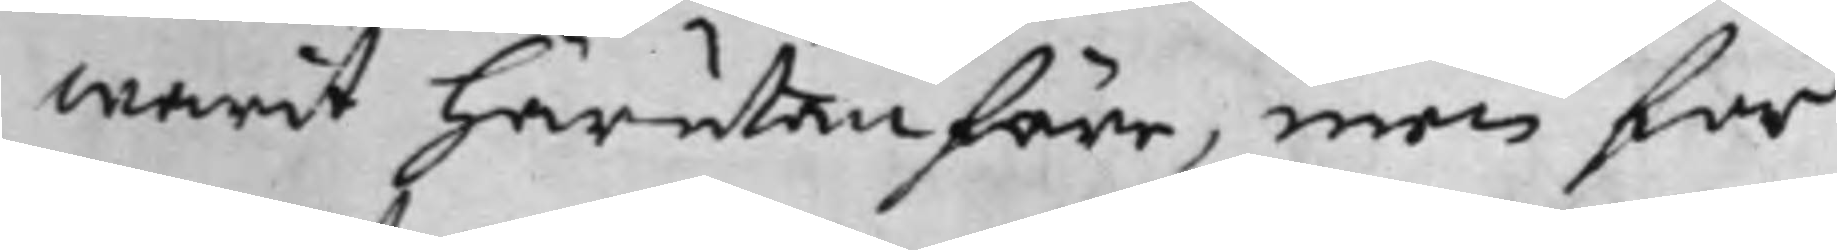warit härutanföre, men för
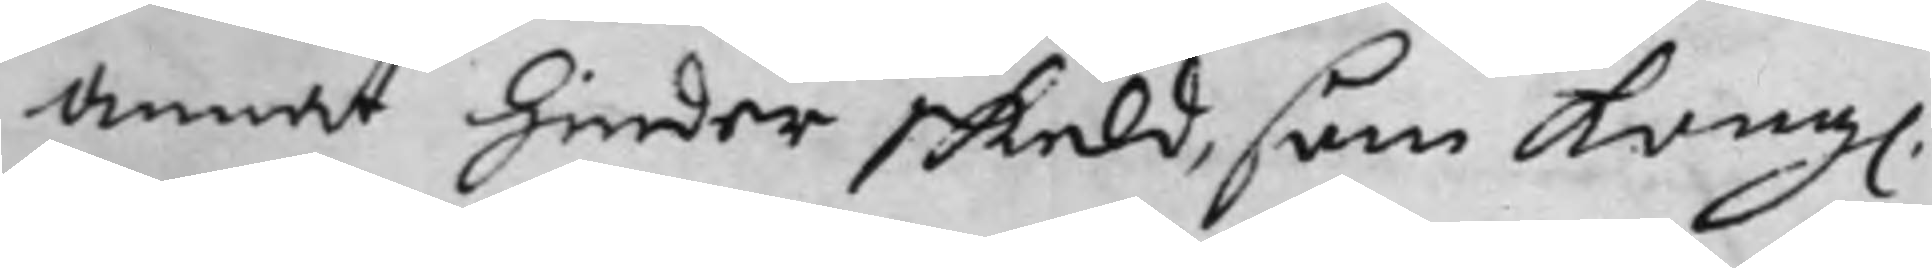annat hinder skuld, som Kongl.
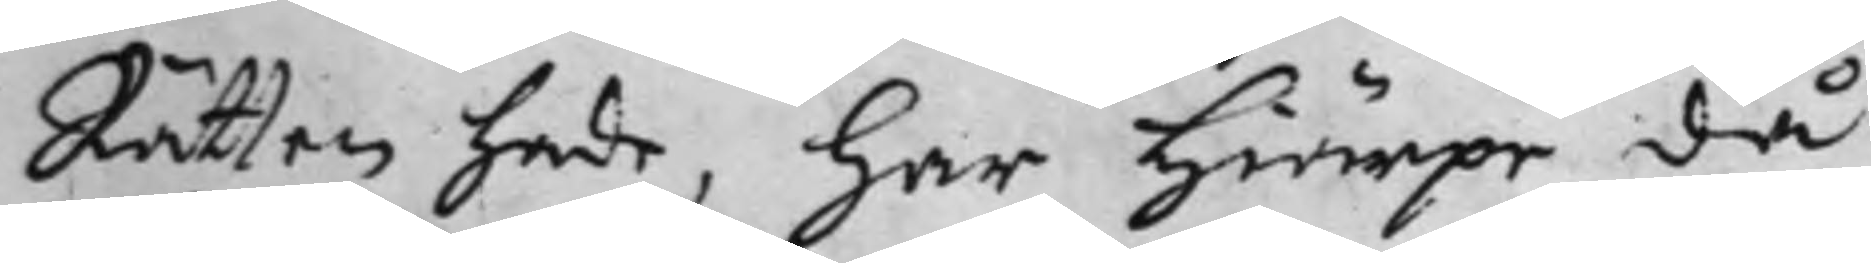Rätten hade, har Hierpe då
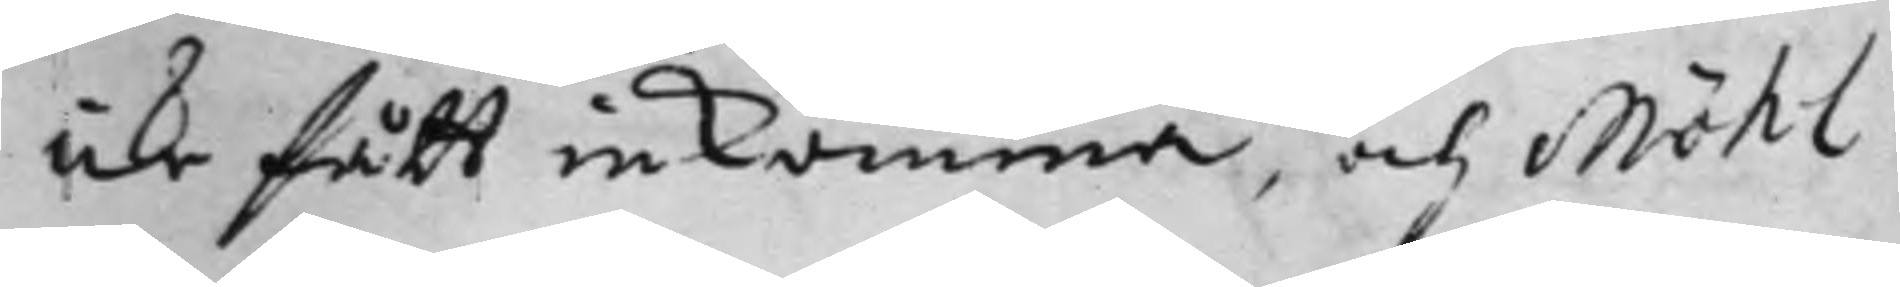icke fått inkomma, och Möhl¬
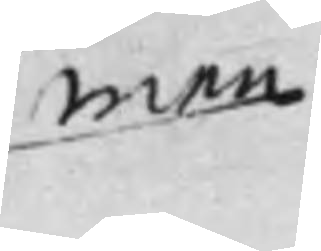man
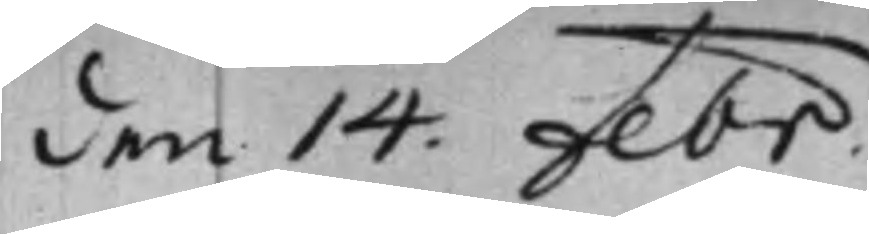den 14 Febr:
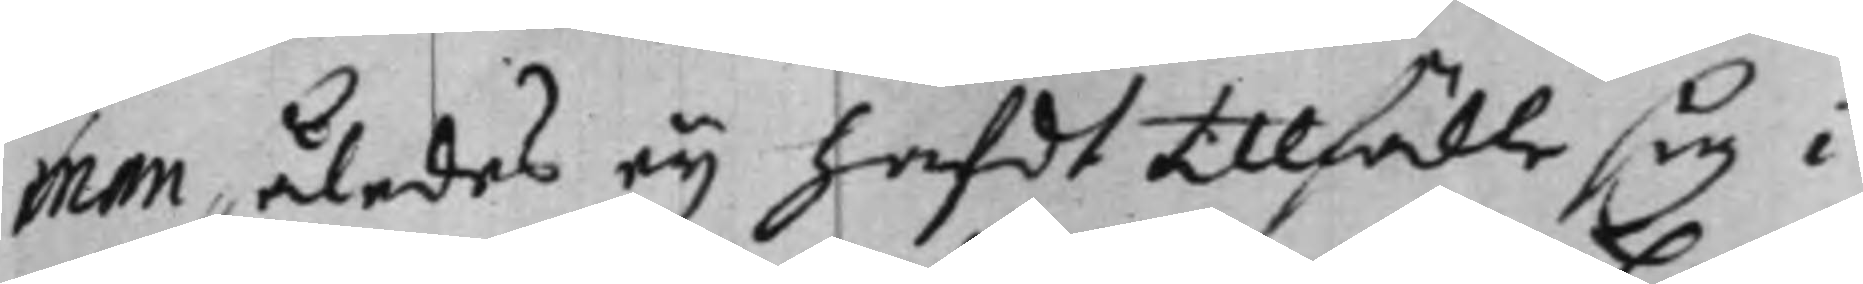man således eij hafdt tillfälle sig i
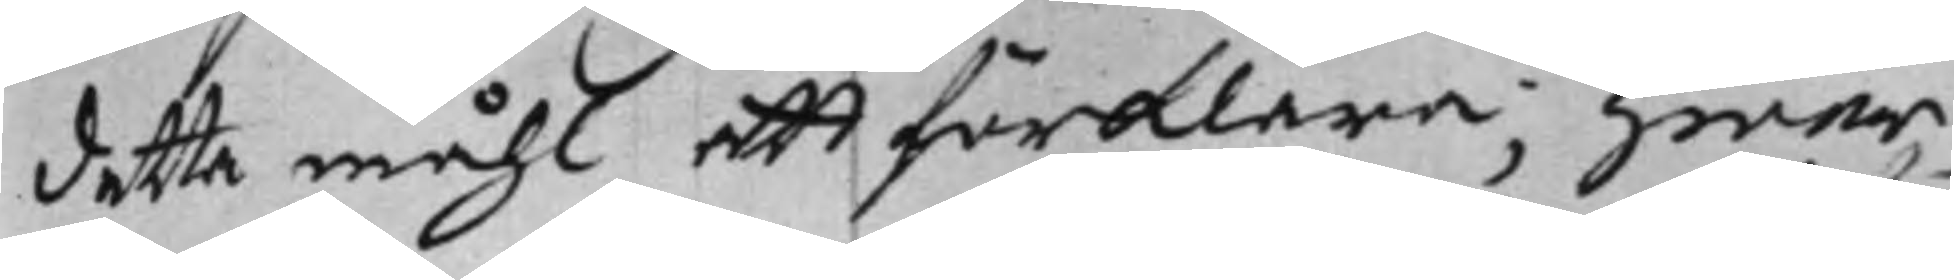detta måhl att förklara; hwar¬
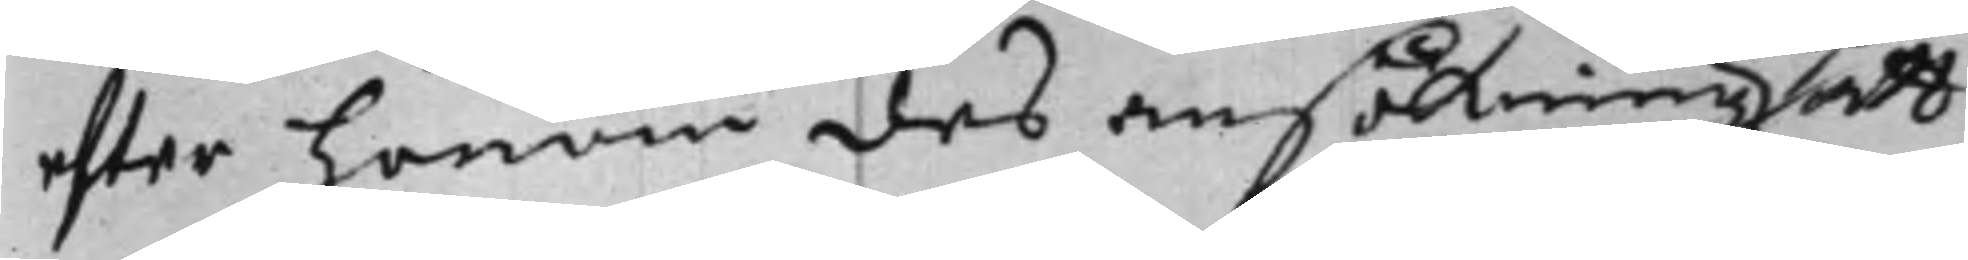efter honom des ansökning att
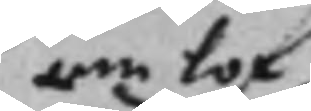om lof
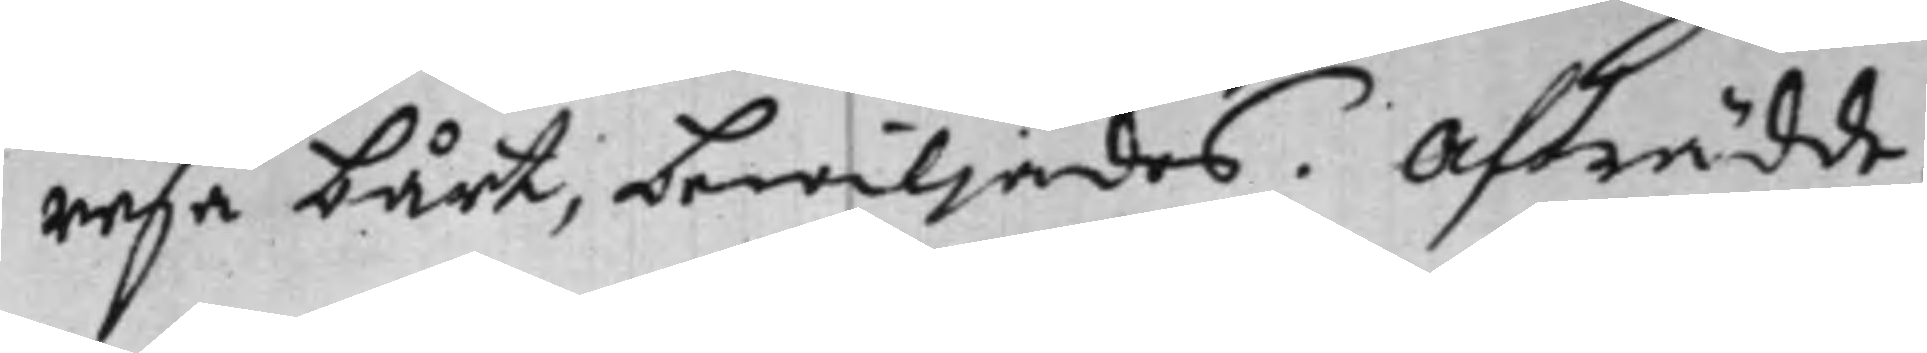resa bårt, bewiljades. Afträdde.
